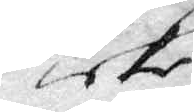icke
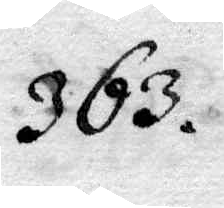363.
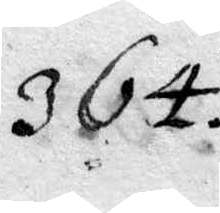364.
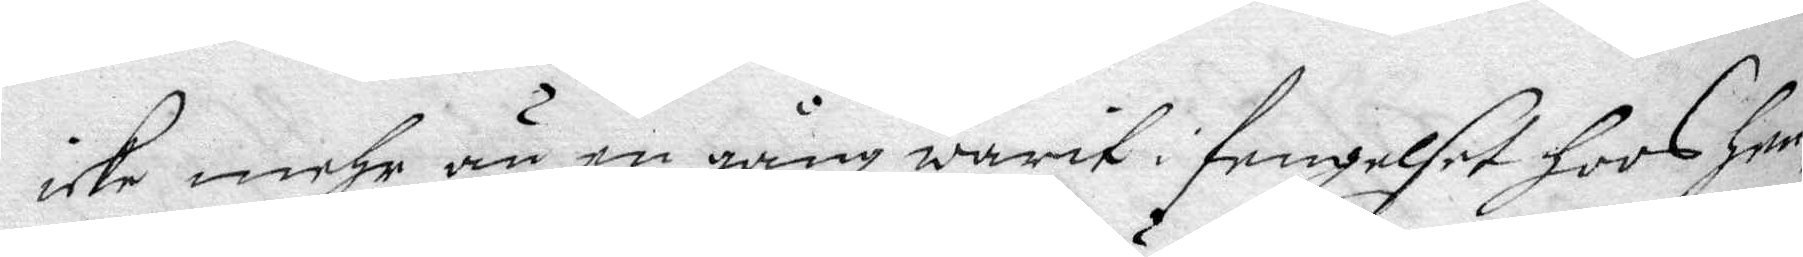icke mehr än en gång warit i fengeslet hoos hen¬
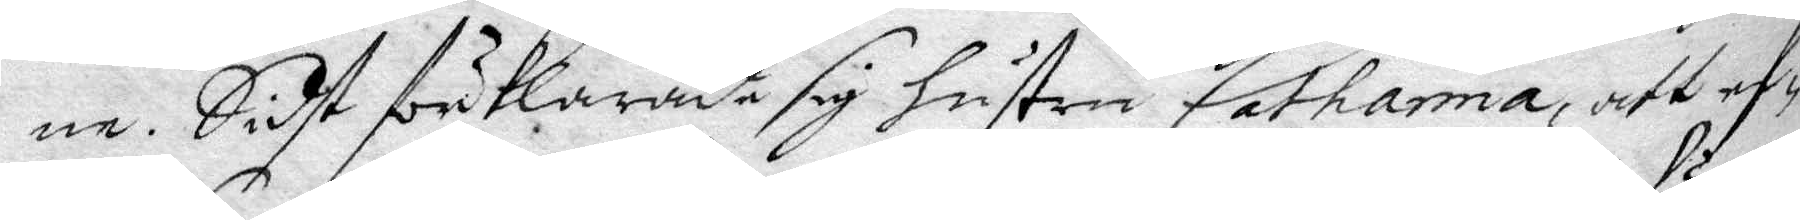ne. Sidt förklarade sig hustru Catharina, att ef¬
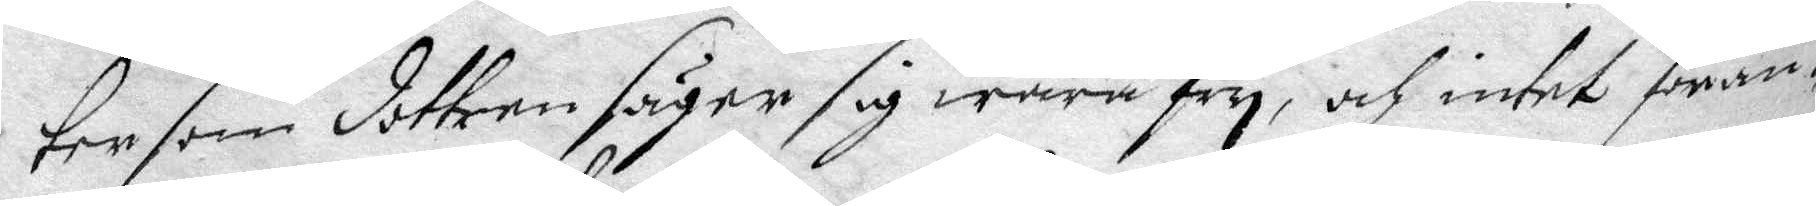ter som dottren säyer sig wara fry, och intet föran¬
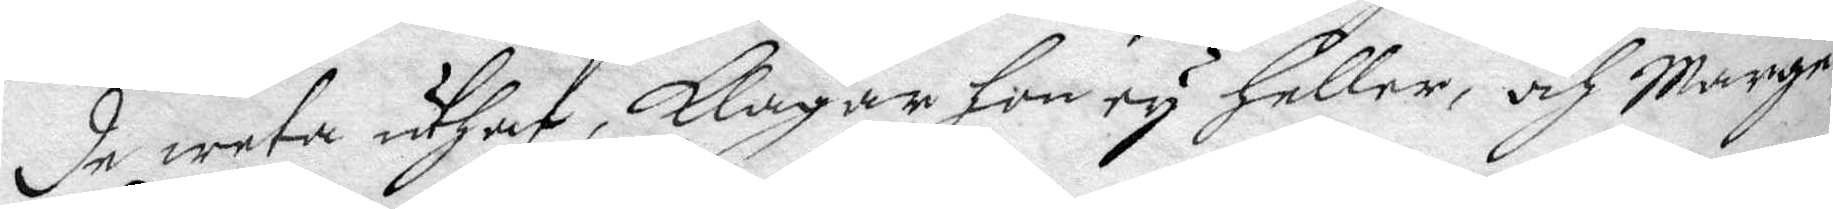de weta uthaf, klagar hon ey heller, och Marge¬
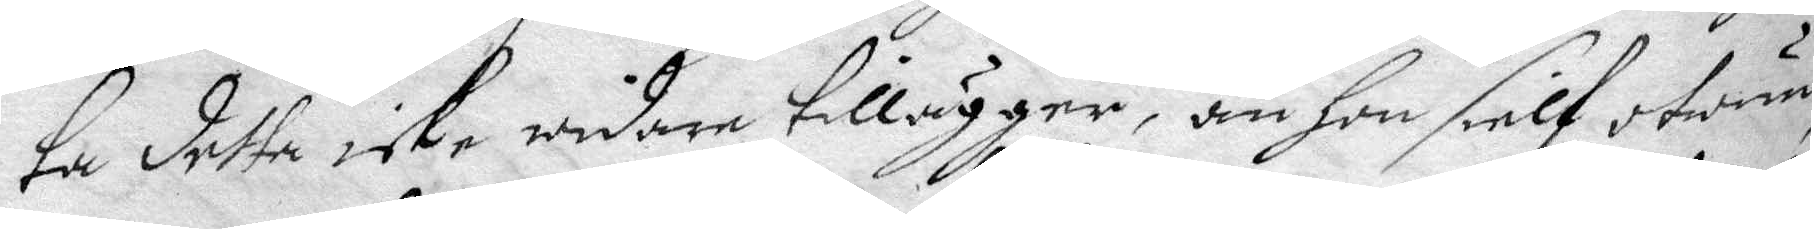ta detta icke widare tillägger, än hon sielf otwun¬
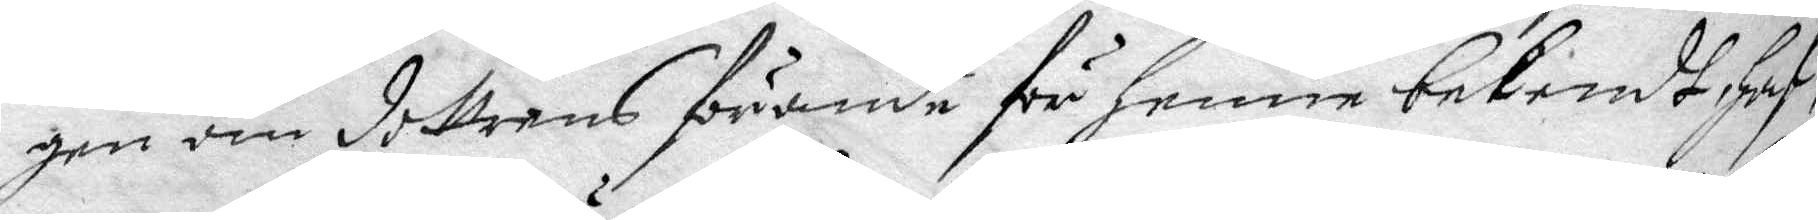gen om dottrens förande för henne bekendt, haf¬
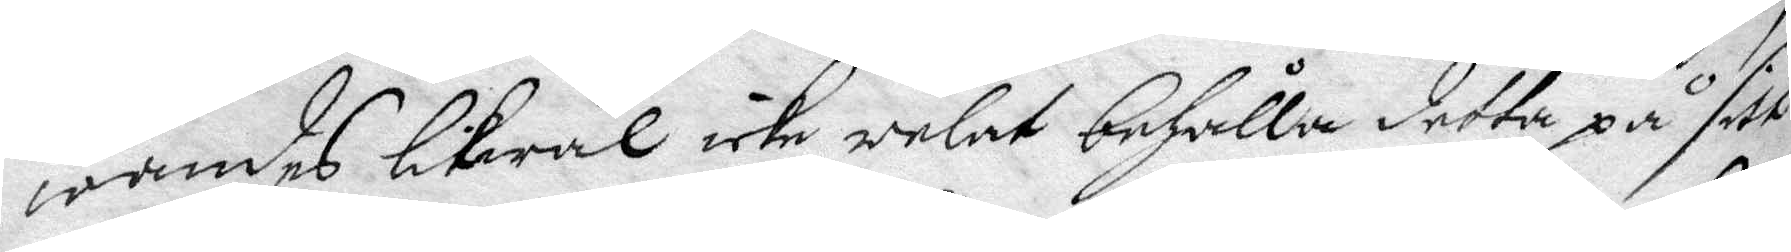wandes likwäl icke welat behålla detta på sitt
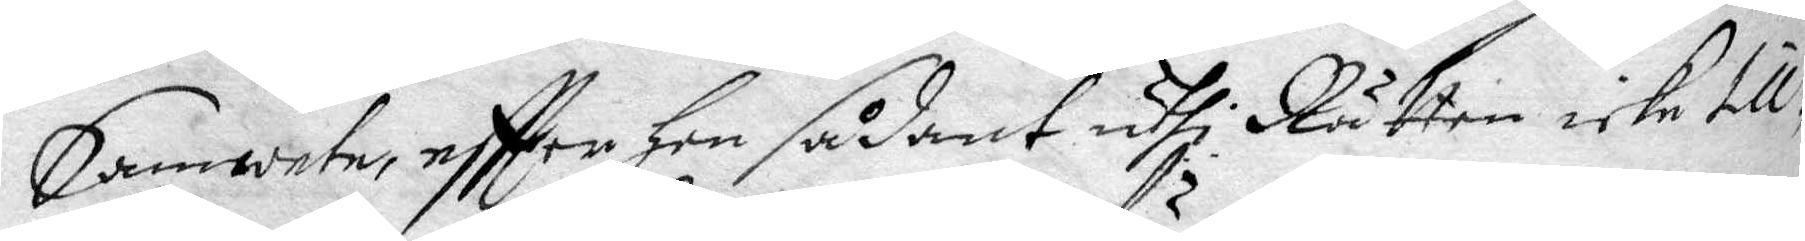Samwete, efter hon sådant uthi Rätten icke till¬
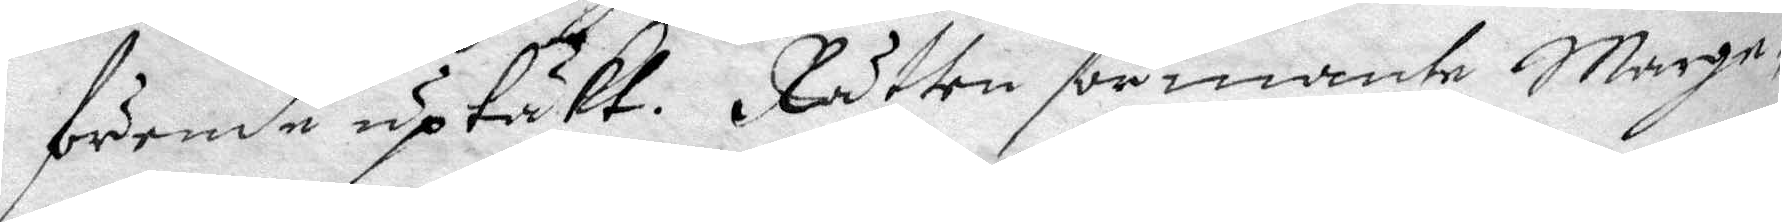förende uptäkt. Rätten förmante Marge¬
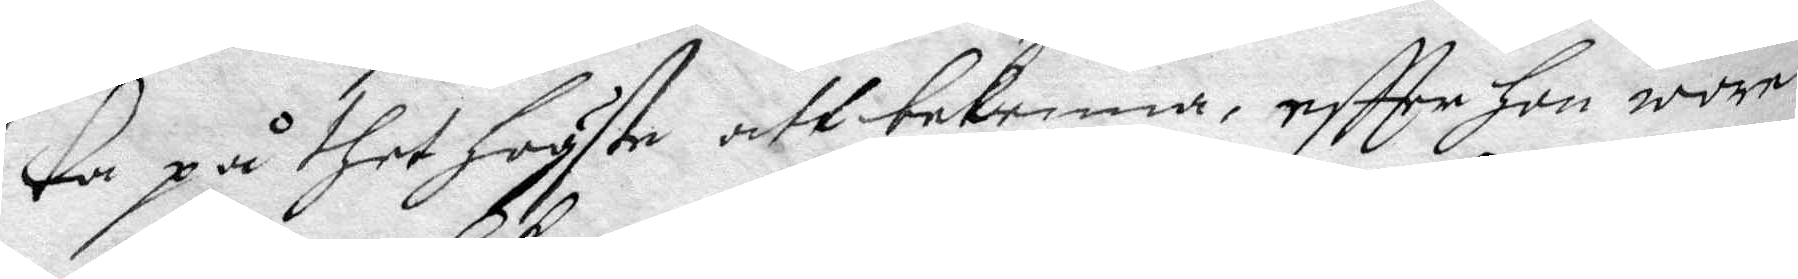ta på thet högste att bekenna, eftter hon wore
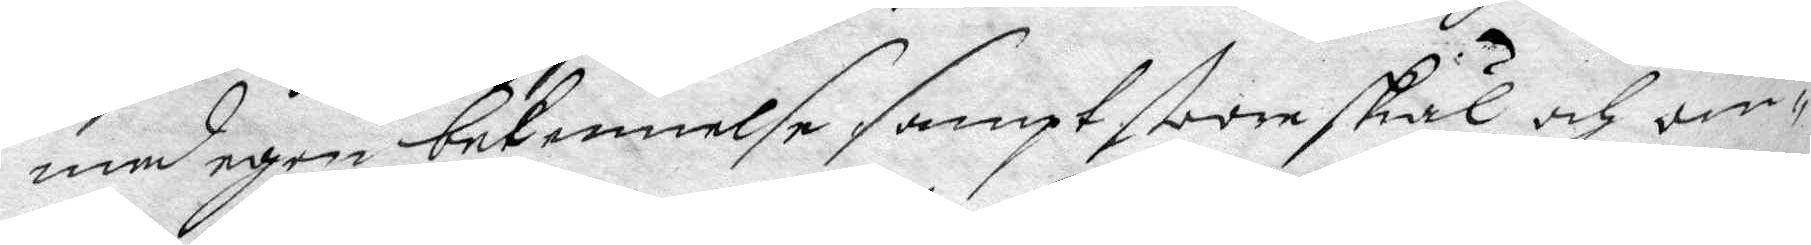med egen bekennelse sampt stoore skäl och om¬
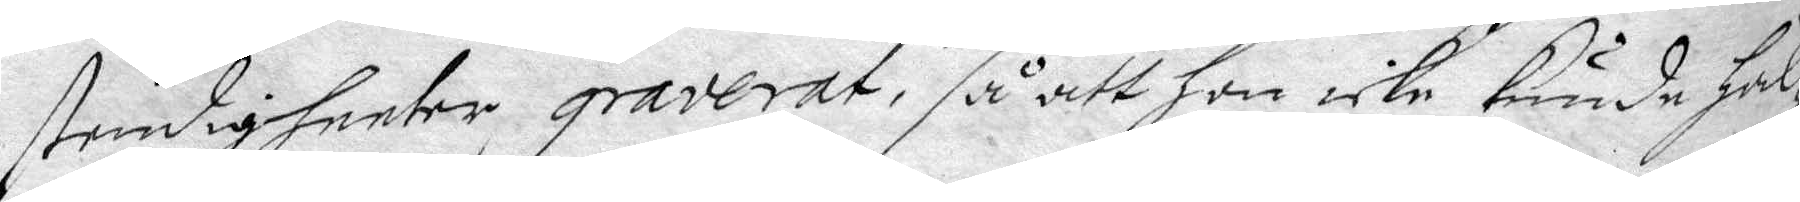stendigheeter graverat, så att hon icke kunde hål¬
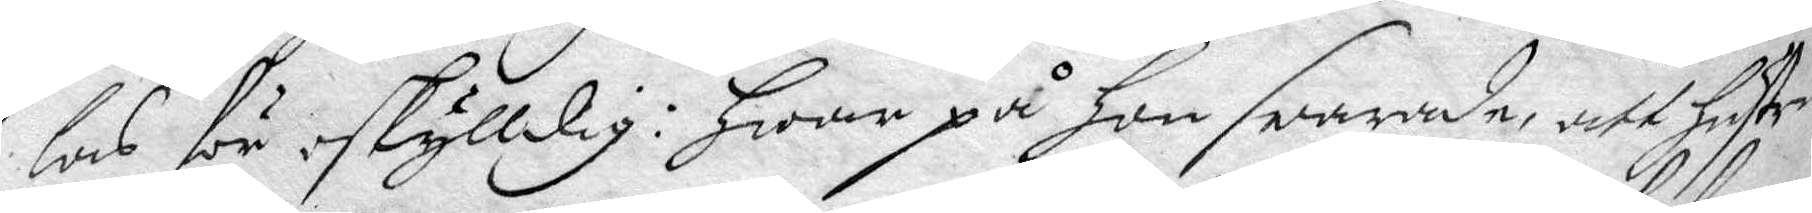las för oskylldig: hwar på hon swarade att hustru
